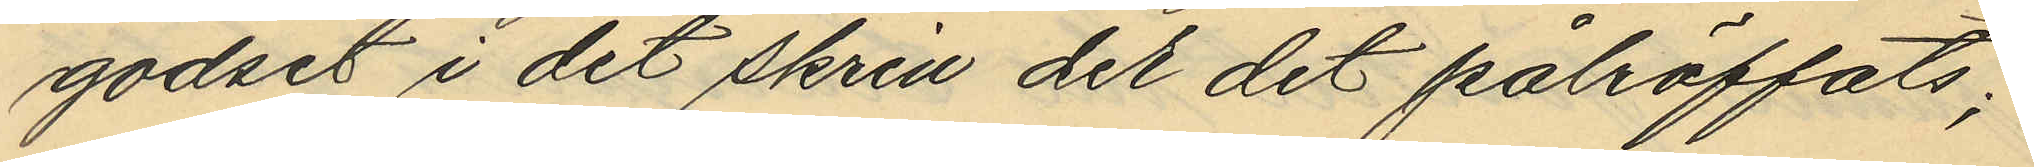godset i det skrin der det påträffats;
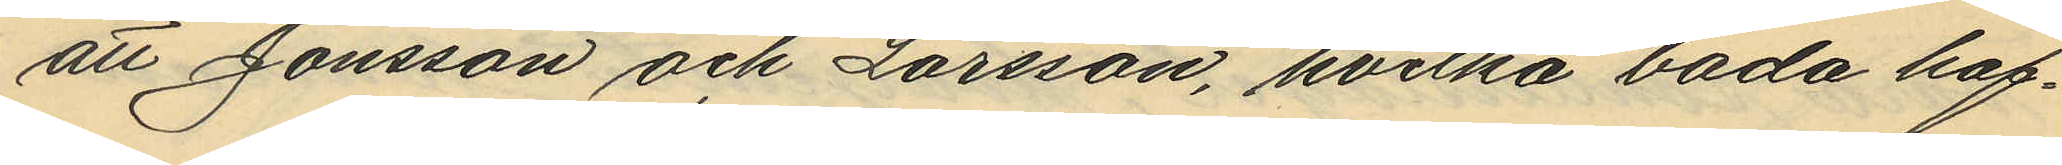att Jonsson och Larsson, hvilka båda haf¬
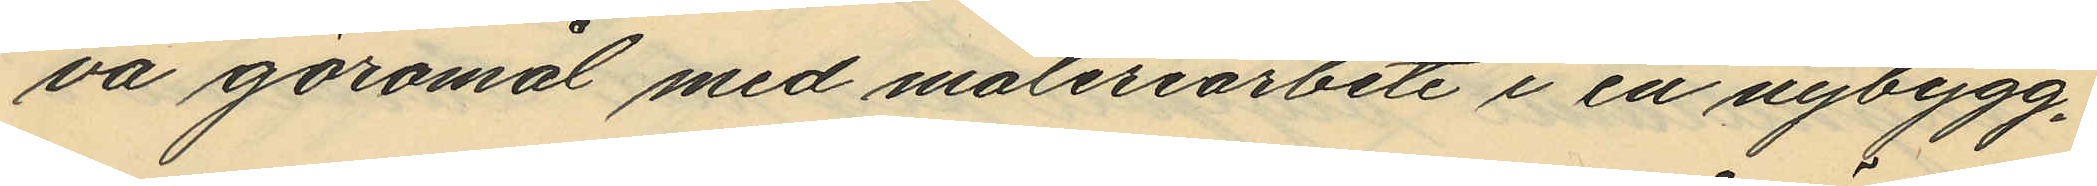va göromål med måleriarbete i en nybygg¬
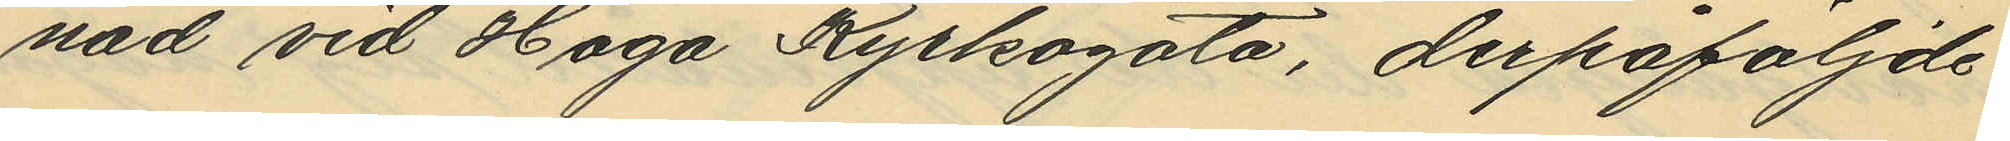nad vid Haga Kyrkogata, derpåföljde
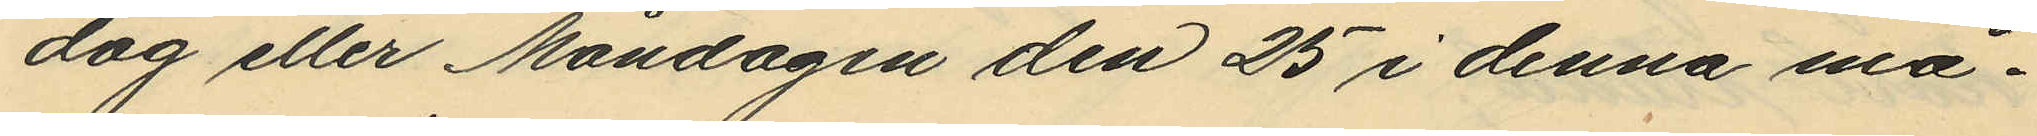dag eller Måndagen den 25 i denna må¬
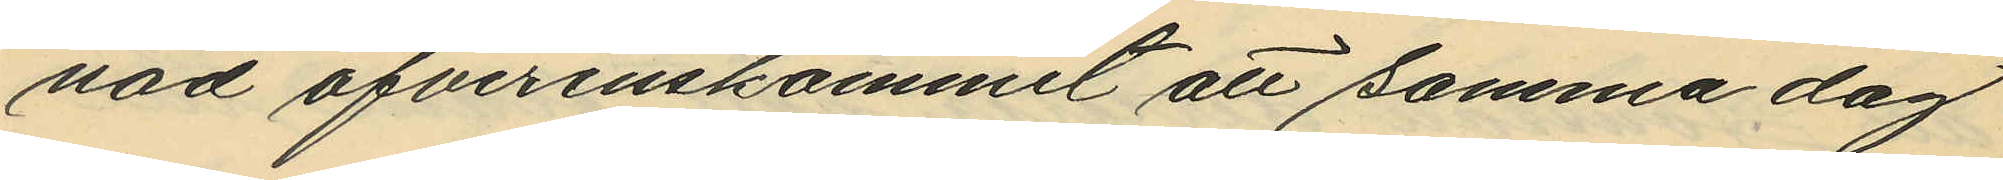nad öfverenskommit, att samma dag
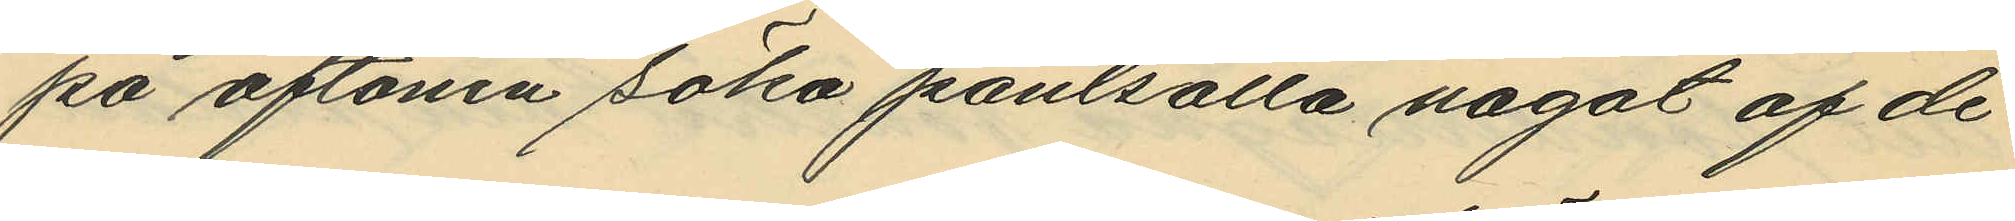på aftonen söka pantsätta något af de
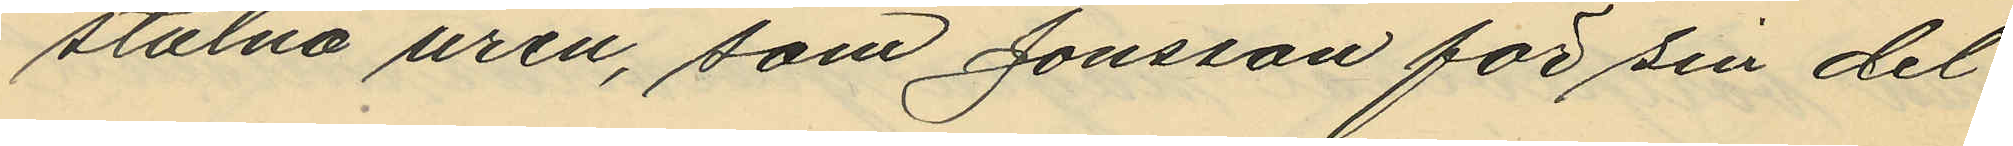stulna uren, som Jonsson för sin del
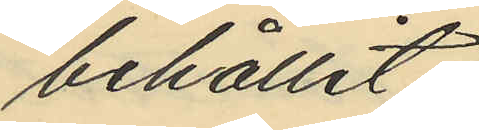behållit;
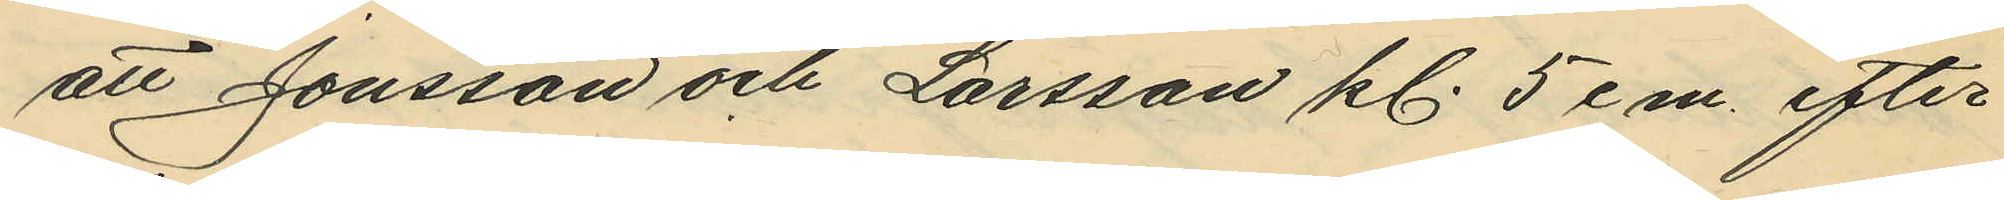att Jonsson och Larsson kl. 5 em. efter
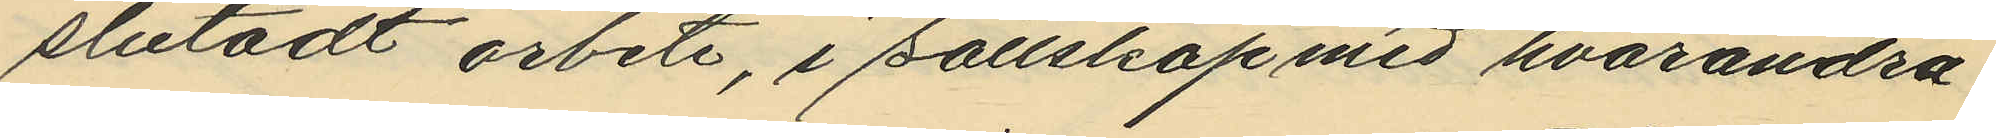slutadt arbete, i sällskap med hvarandra
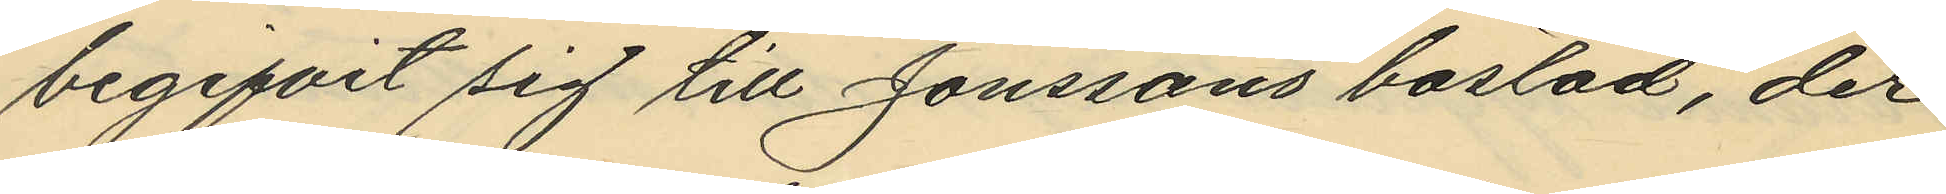begifvit sig till Jonssons bostad, der
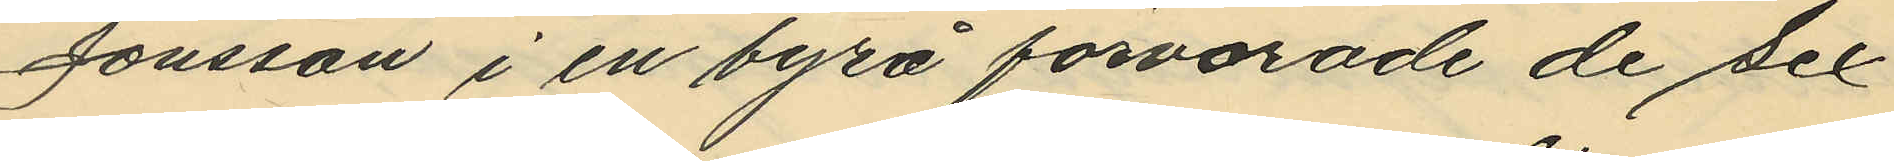Jonsson i en byrå förvarade de sex
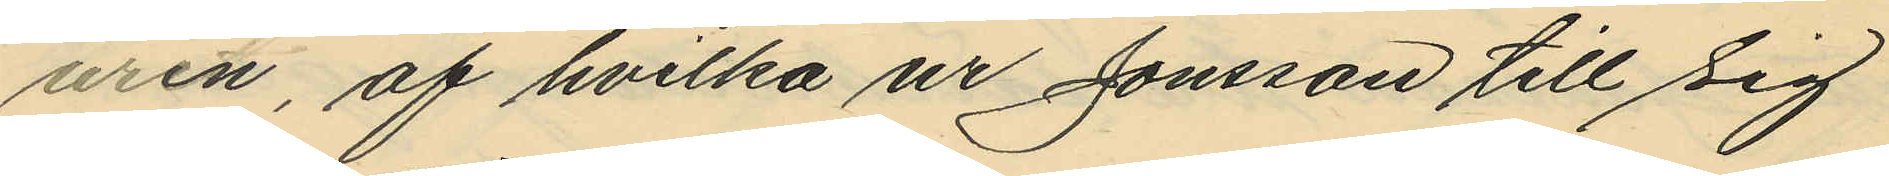uren, af hvilka ur Jonsson till sig
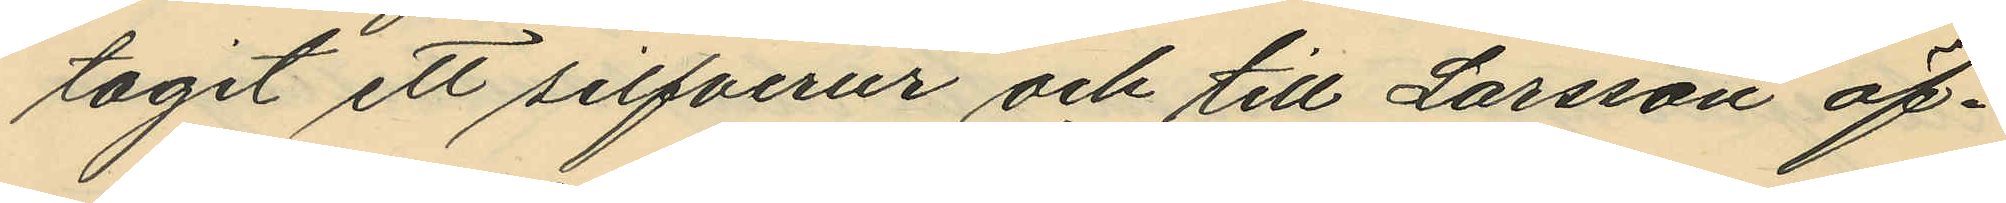tagit ett silfverur och till Larsson öf¬
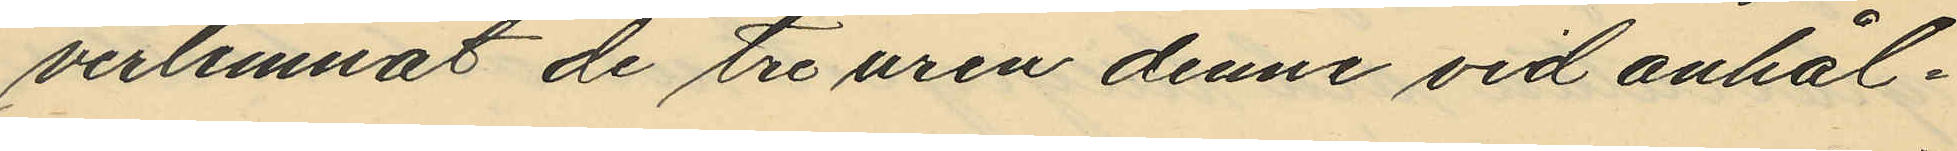verlemnat de tre uren denne vid anhål¬
